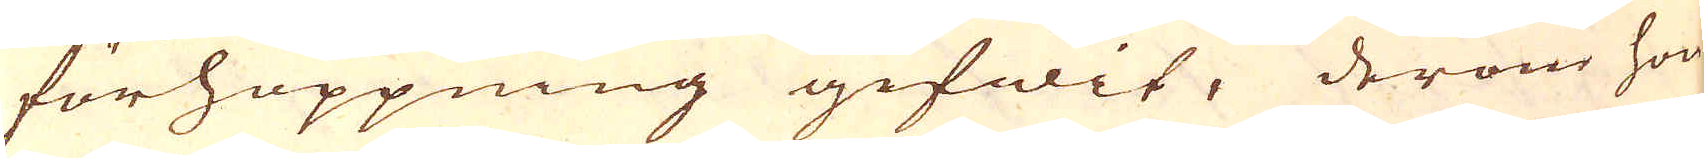förhoppning gifwit, derom hon
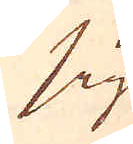sig
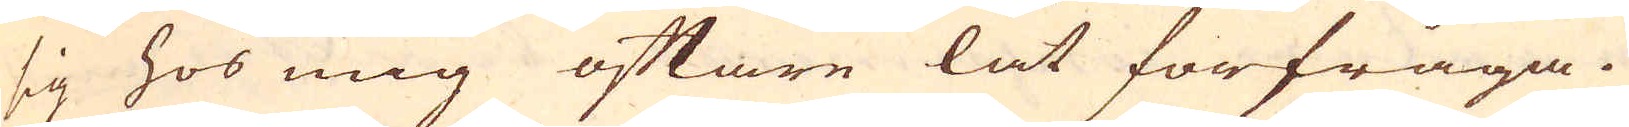sig hos mig oftare lät förfråga.
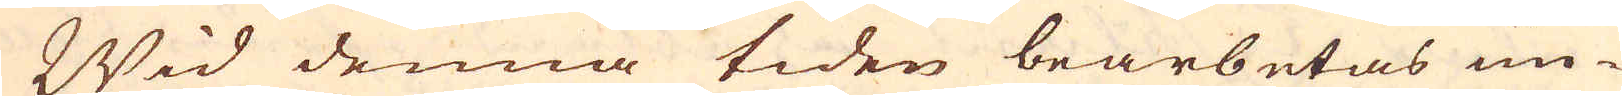Wid denna tiden bearbetas un-
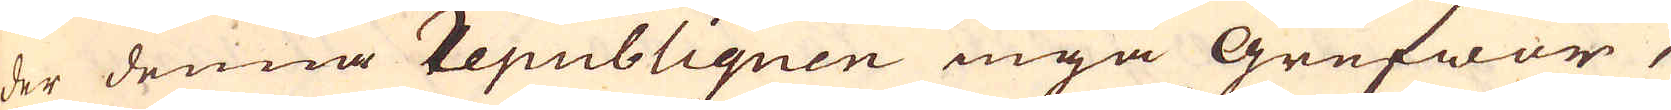der denna republiquen inga Grufwor,
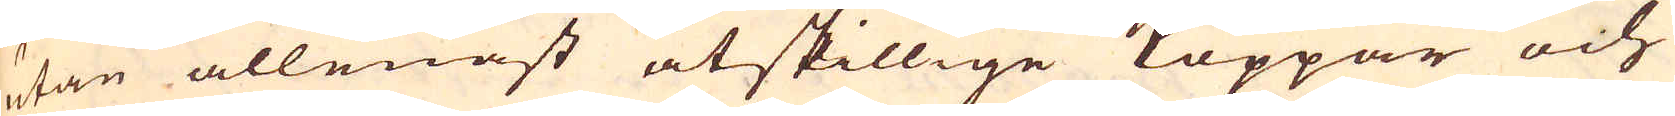utan allenast åtskillige Koppar och
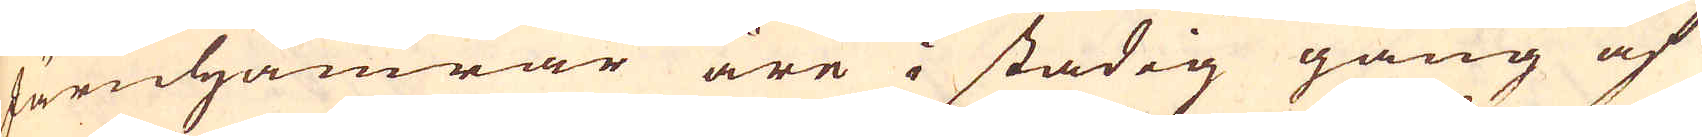Järnhamrar äre i stadig gång af
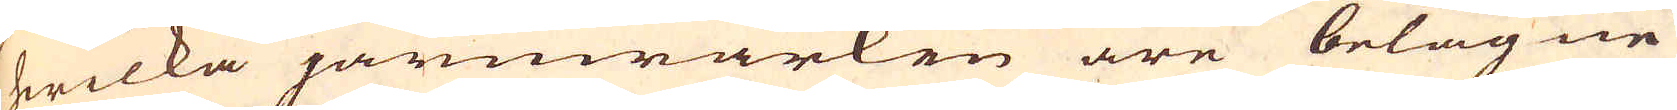hwilka järnwärken äre belägne
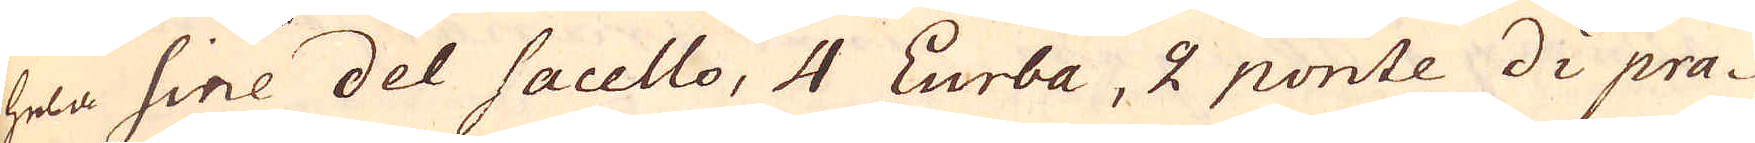hela Sine del Sacello, 4 Lurba, 2 ponte di pra-
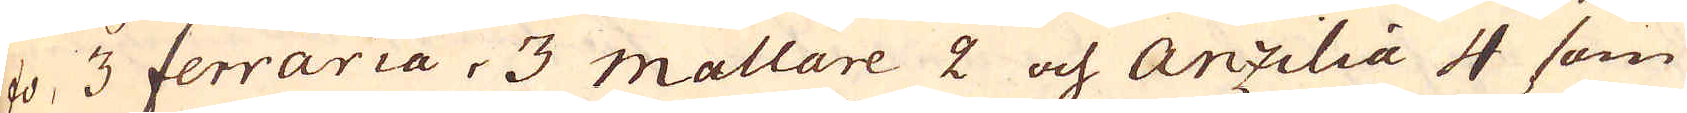fo, 3 ferraria, 3 mallare 2 och Anzilia 4 som
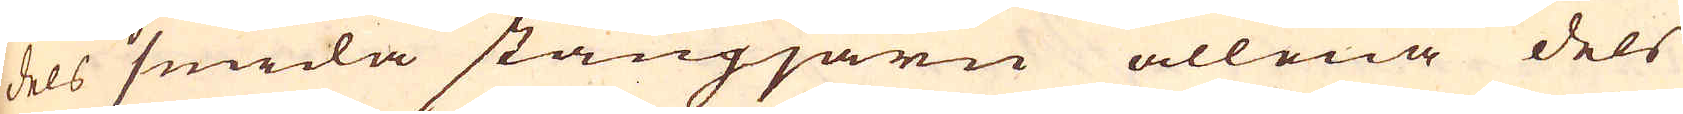dels smida stångjärn allena dels
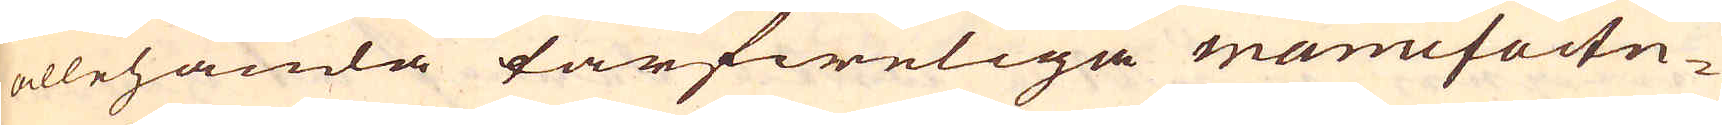allehanda tarfweliga manufactu-
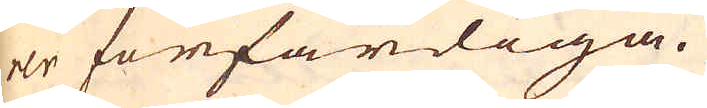er förfärdiga.
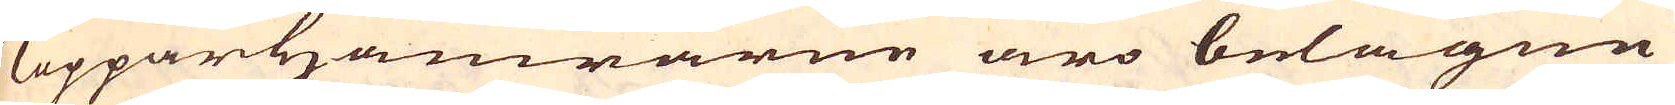Kopparhamrarne äro belägne
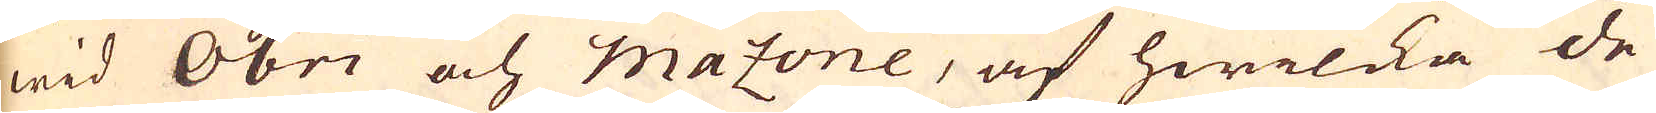wid Obri och mazone, af hwilcka de
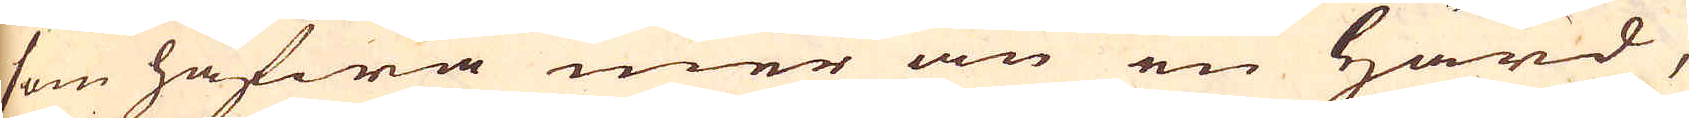som hafwa mer än en Härd,
